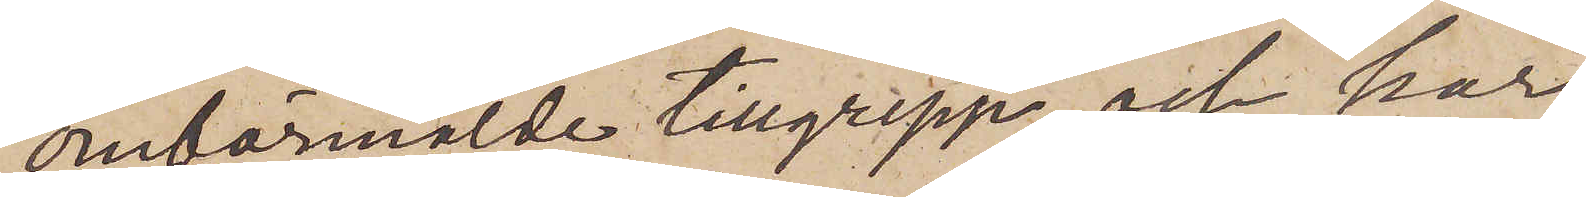omförmälde tillgrepp; och har
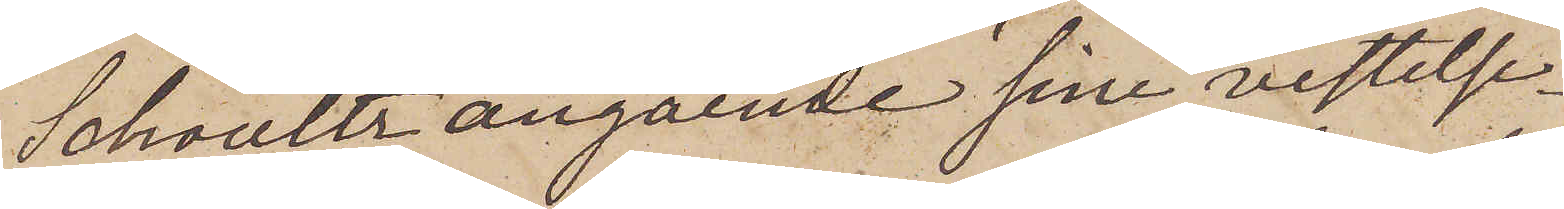Schoultz angående sina vistelse¬
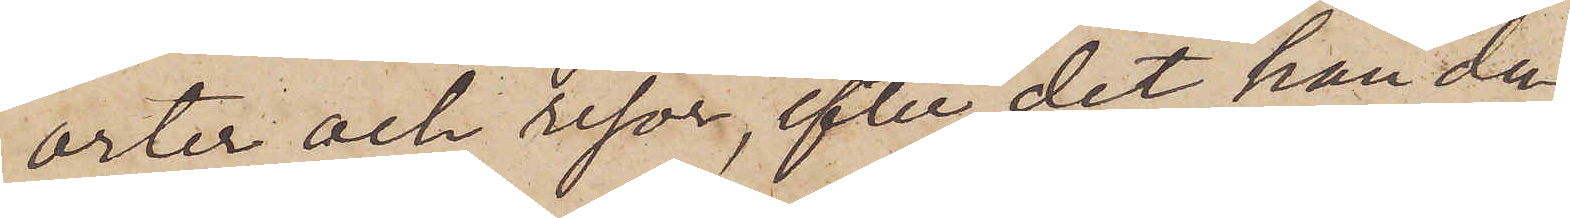orter och resor, efter det han den
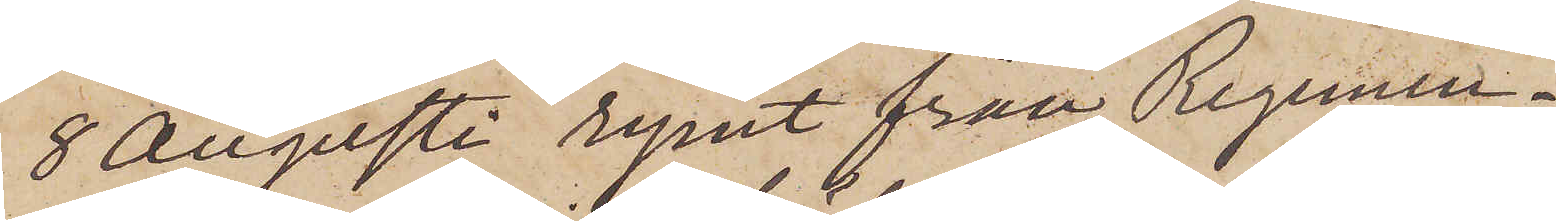8 Augusti rymt från Regemen¬
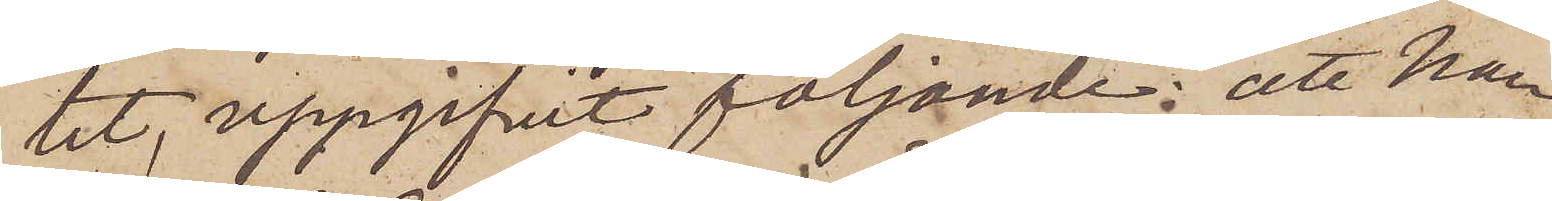tet, uppgifvit följande: att han
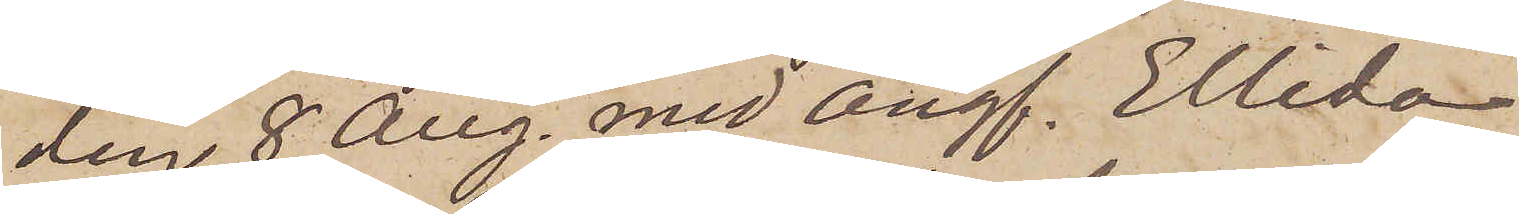den 8 Aug. med Ångf. Ellida
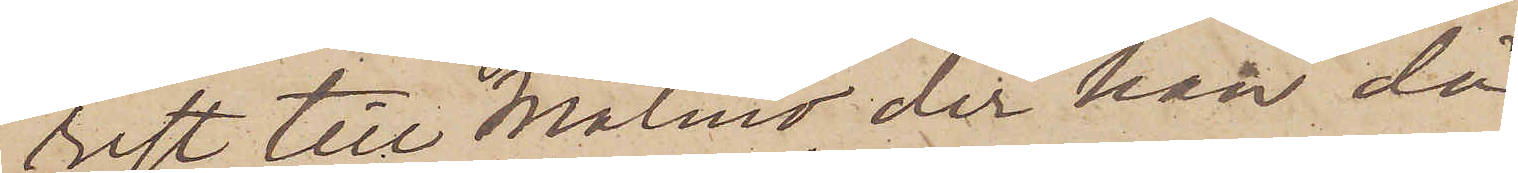rest till Malmö, der han då
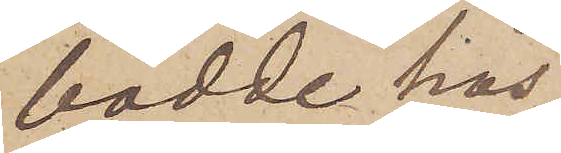bodde hos
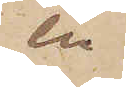en
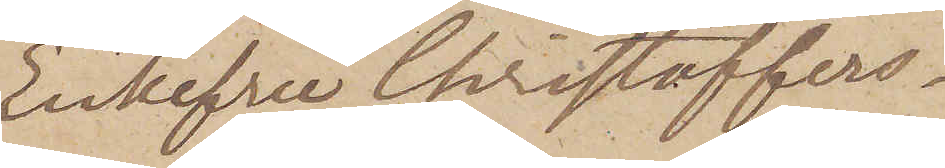Enkefru Christoffers¬
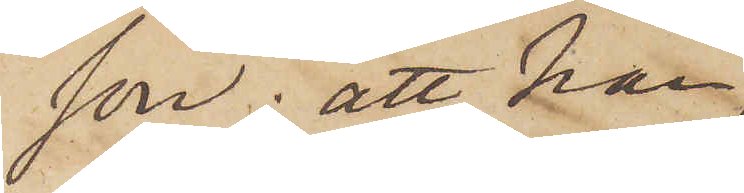son; att han
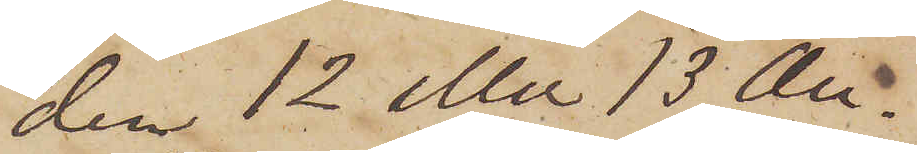den 12 eller 13 Au¬
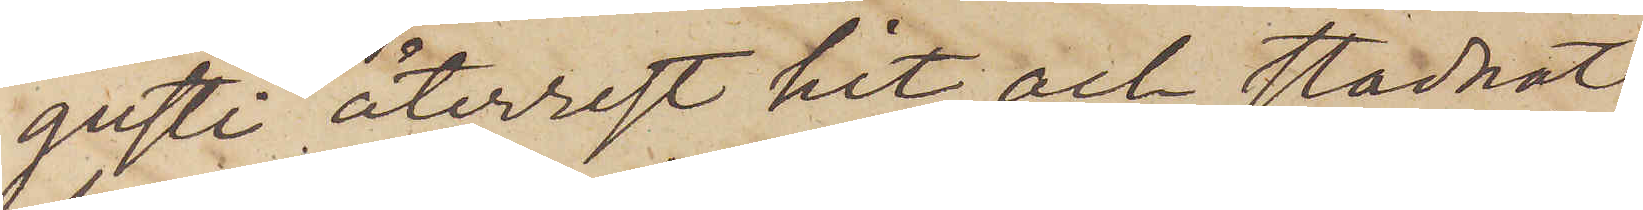gusti återrest hit och stadnat
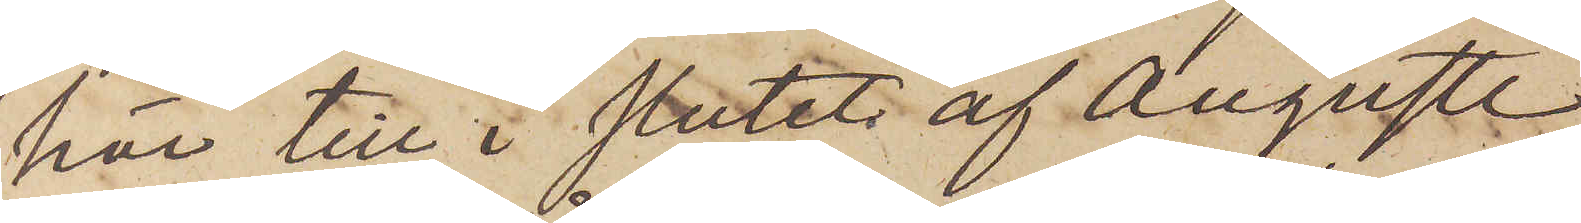här till i slutet af Augusti,
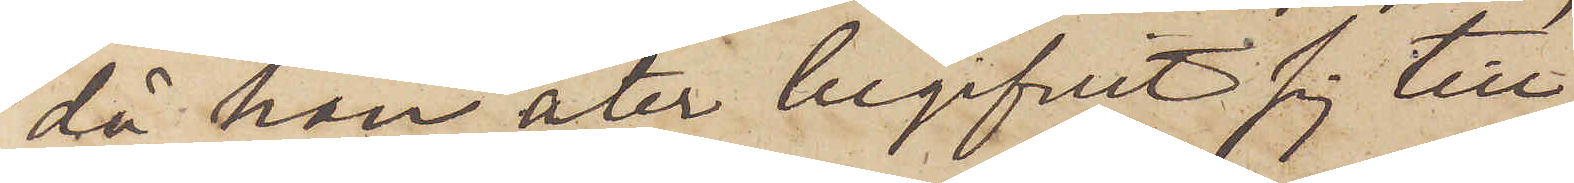då han åter begifvit sig till
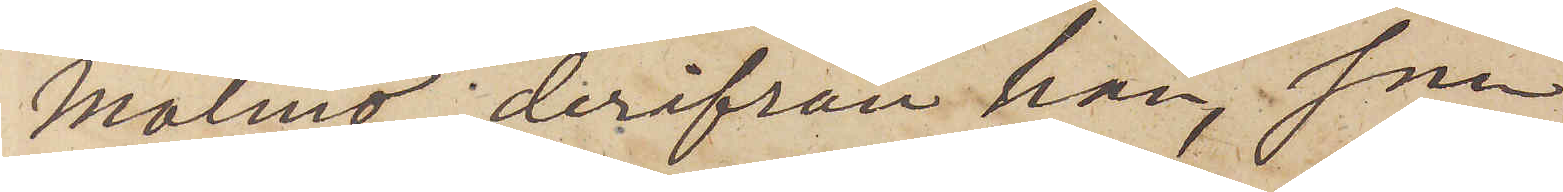Malmö, derifrån han, som
